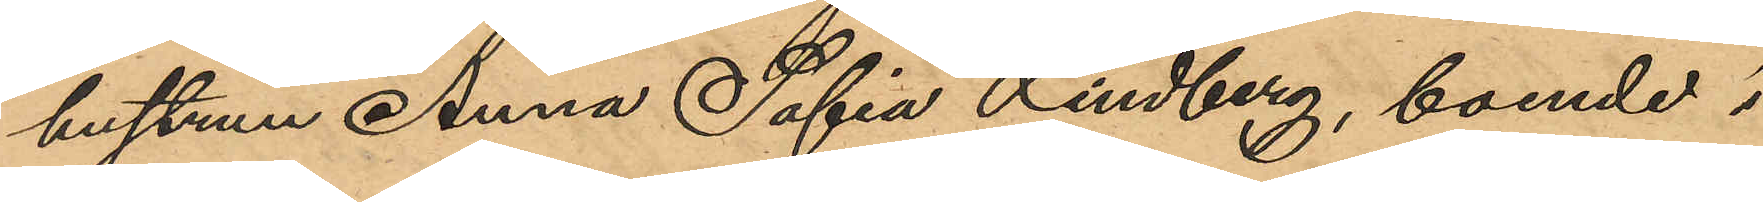hustrun Anna Sofia Lindberg, boende i 
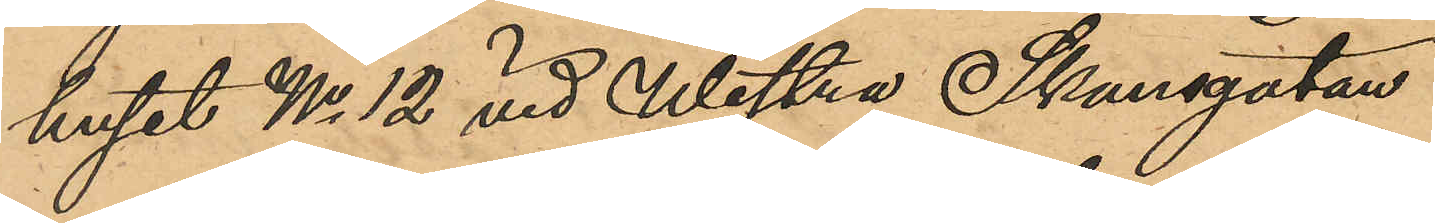huset No 12 vid Westra Skansgatan.
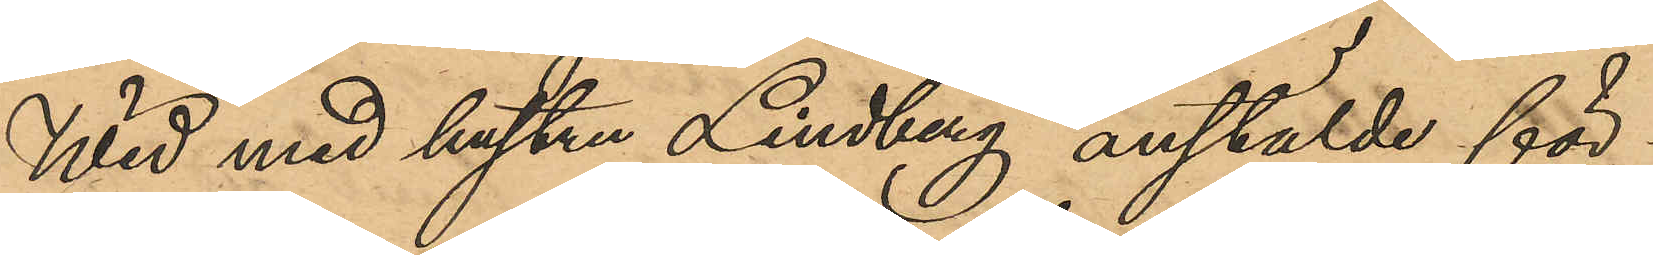Wid med hustru Lindberg anstälde för¬
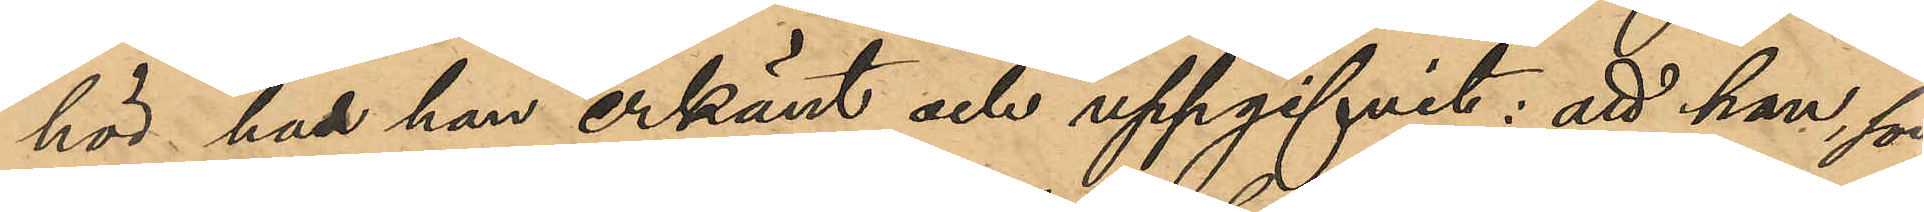hör har hon erkänt och uppgifvit: att hon, som
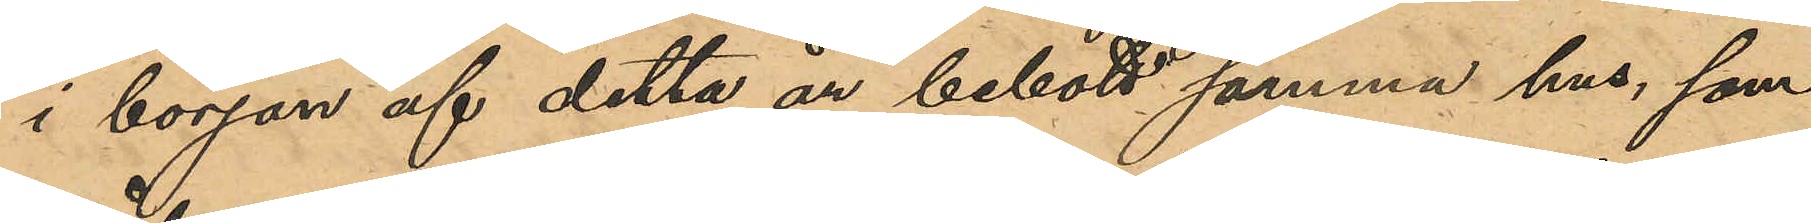i början af detta år bebott samma hus, som
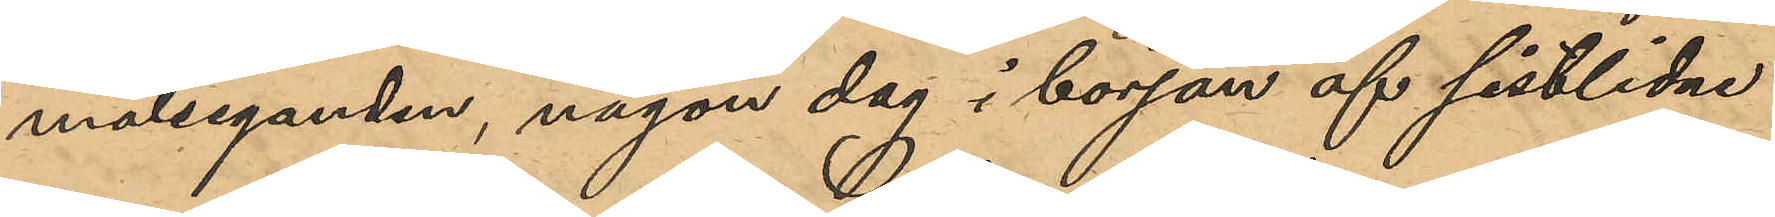målseganden, någon dag i början af sistlidne
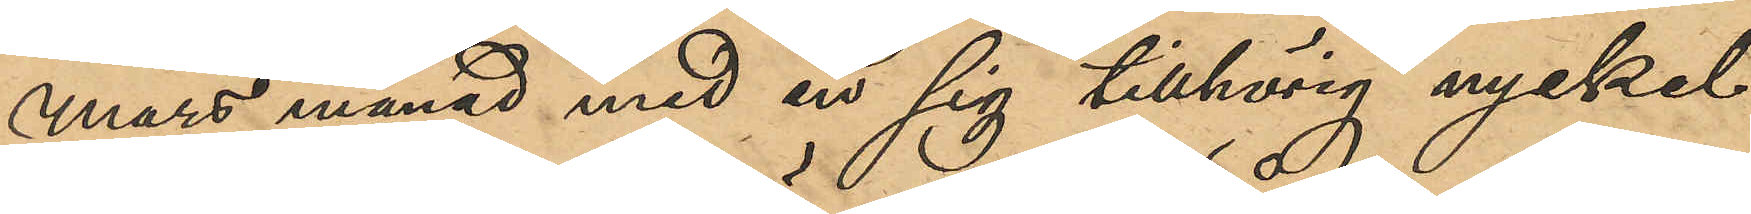mars månad med en sig tillhörig nyckel
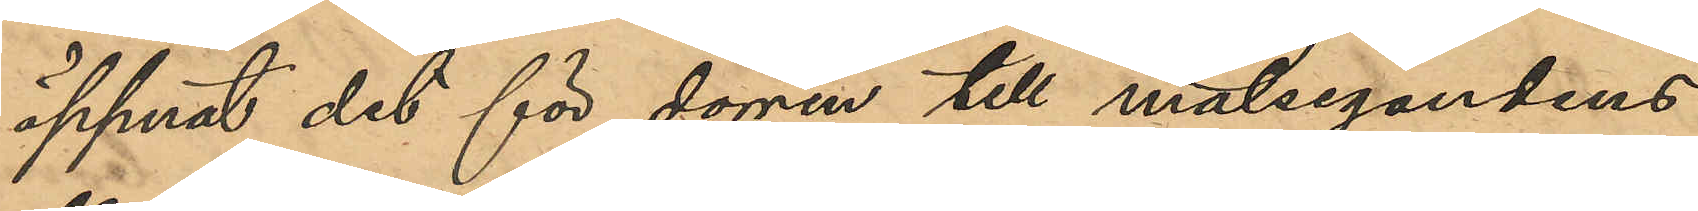öppnat det för dörren till målsegandens
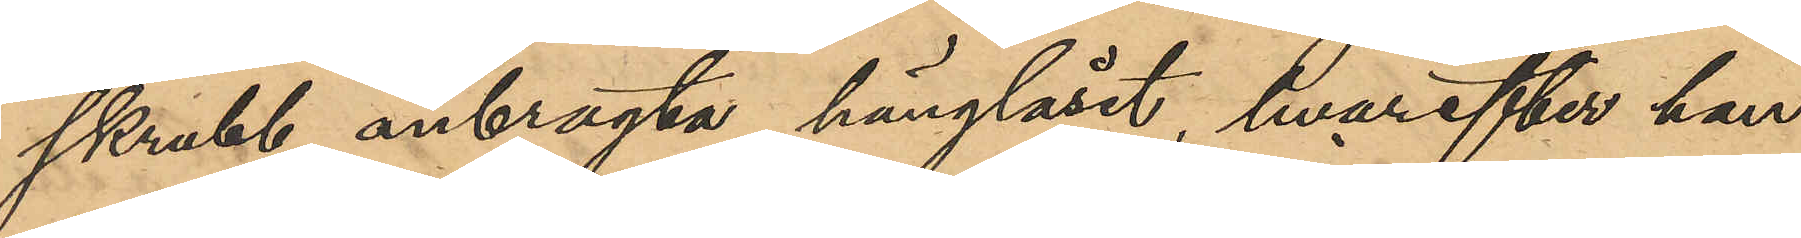skrubb anbragte hänglåset, hvarefter hon
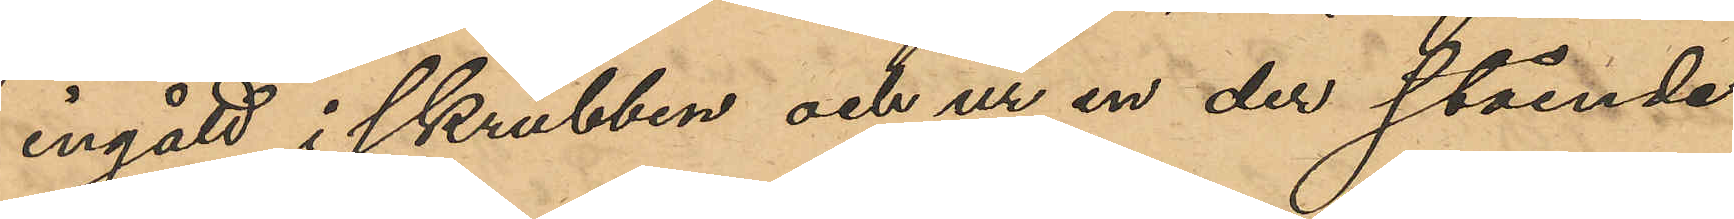ingått i skrubben och ur en der stående
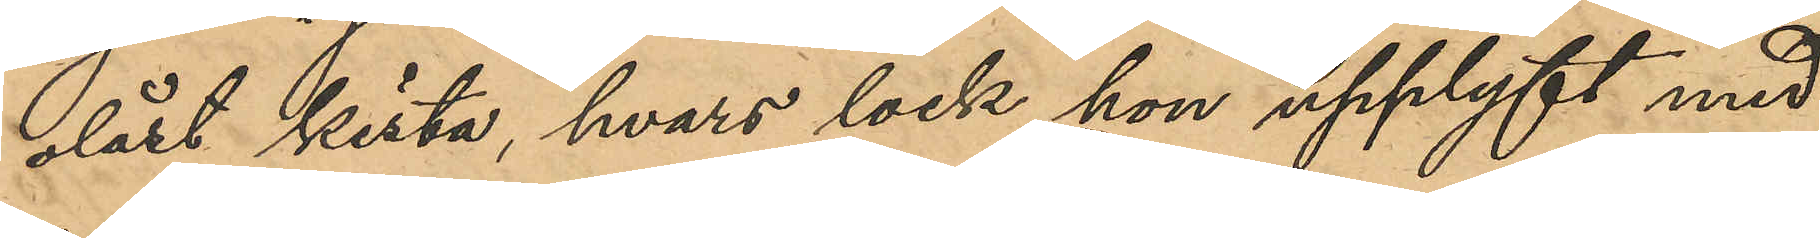olåst kista hvars lock hon upplyft med
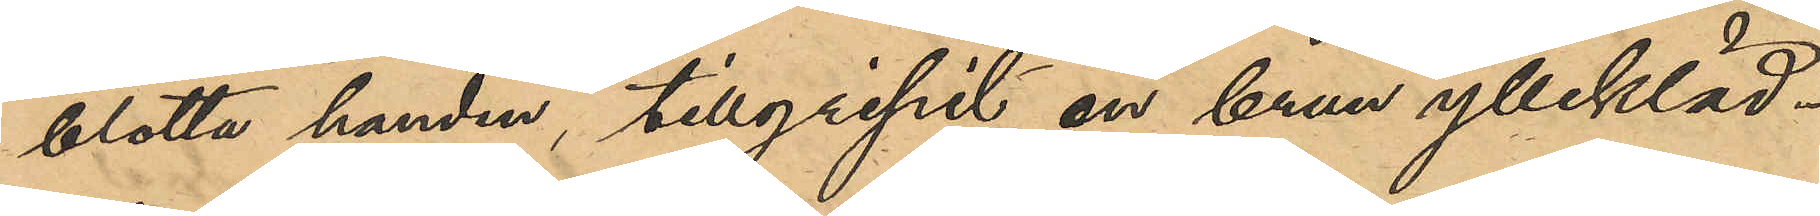blotta handen, tillgripit en brun yllekläd¬
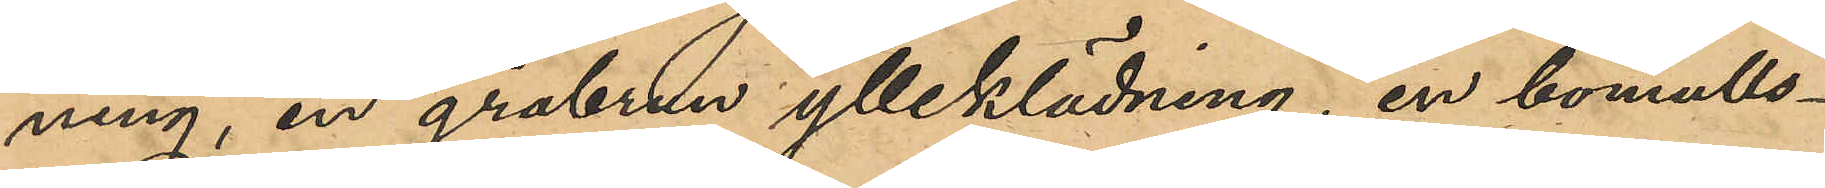ning, en gråbrun ylleklädning, en bomulls¬
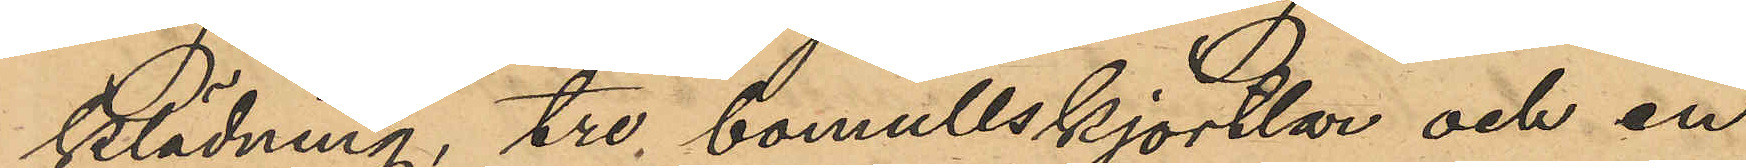klädning, tre bomullskjortlar och en
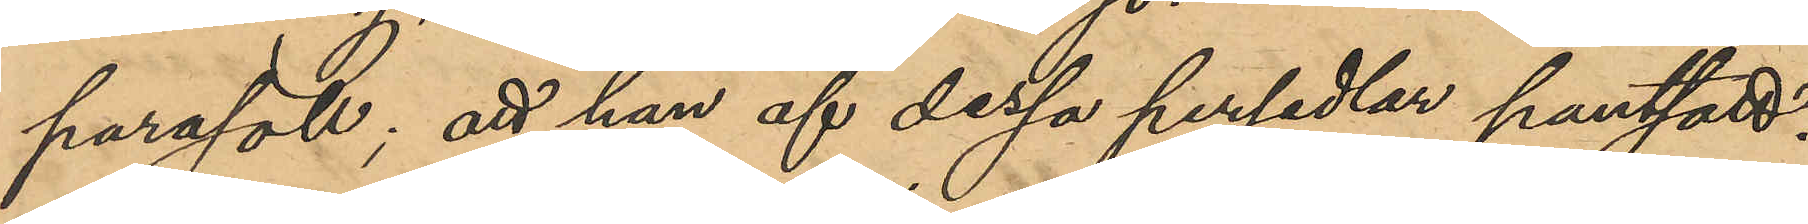parasoll; att hon af dessa persedlar pantsatt:
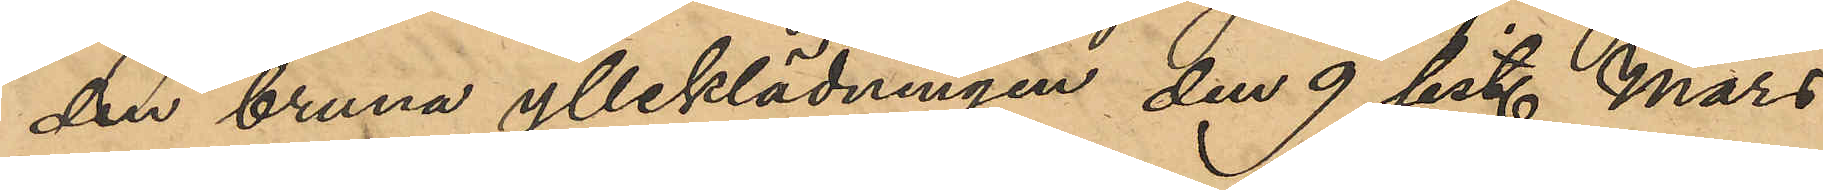den bruna ylleklädningen den 9 sist. Mars
